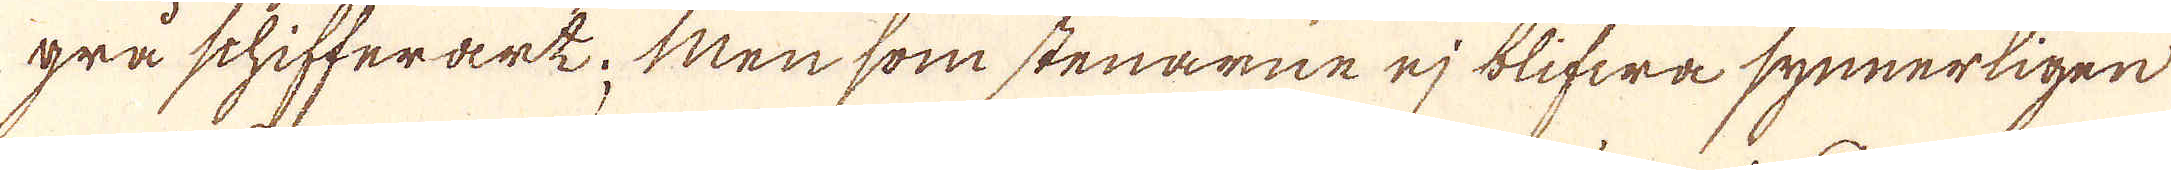gra schifferart; Men som stenarne ej blifwa synnerligen
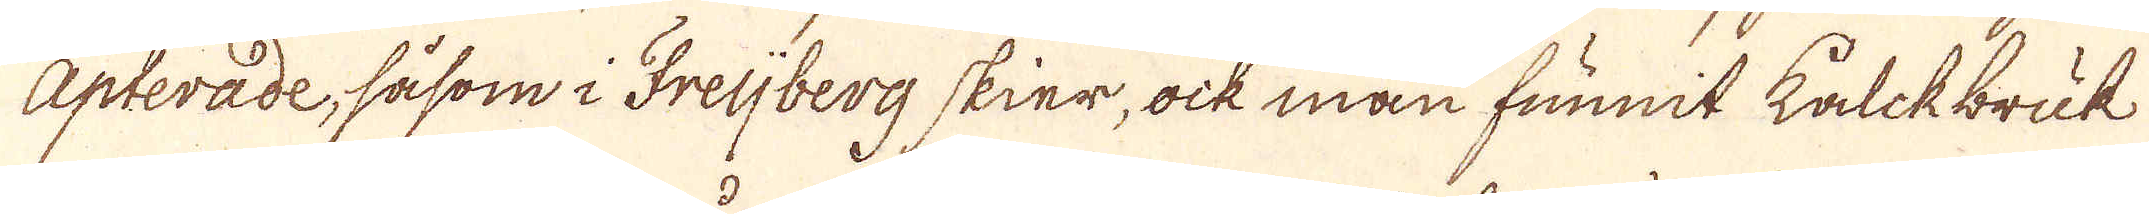Apterade, såsom i Freijberg skier, ock man funnit kalkbruk
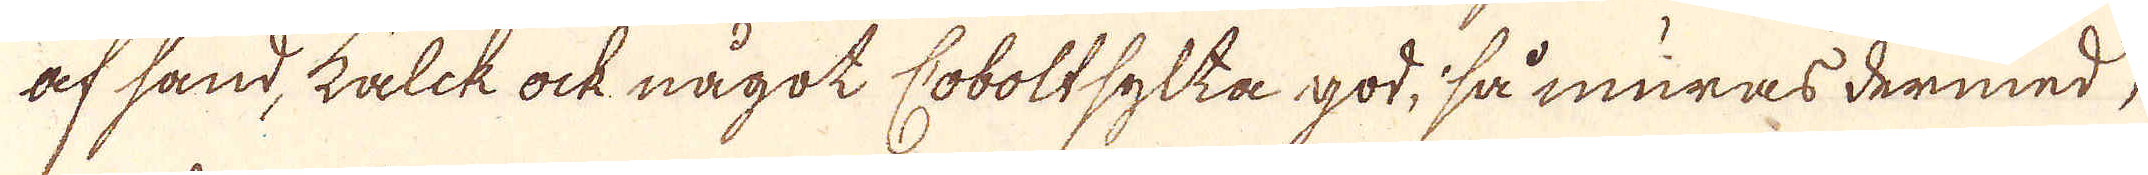af sand, kalk ock något Coboltsylta god, så muras dermed,
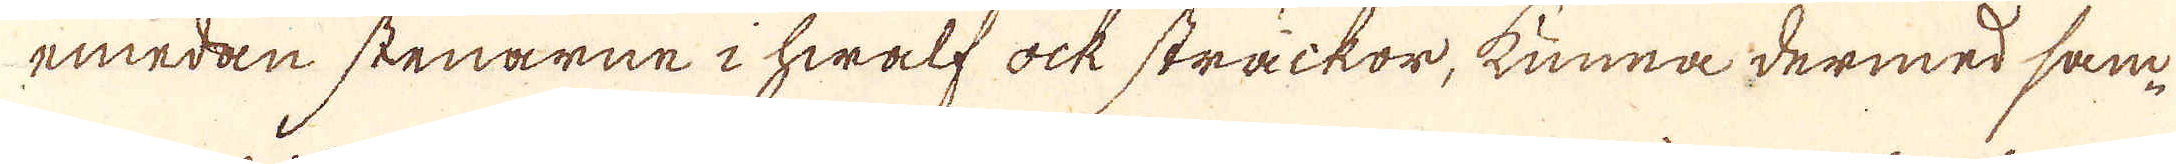emedan stenarne i hwalf ock sträckor, kunna dermed sam-
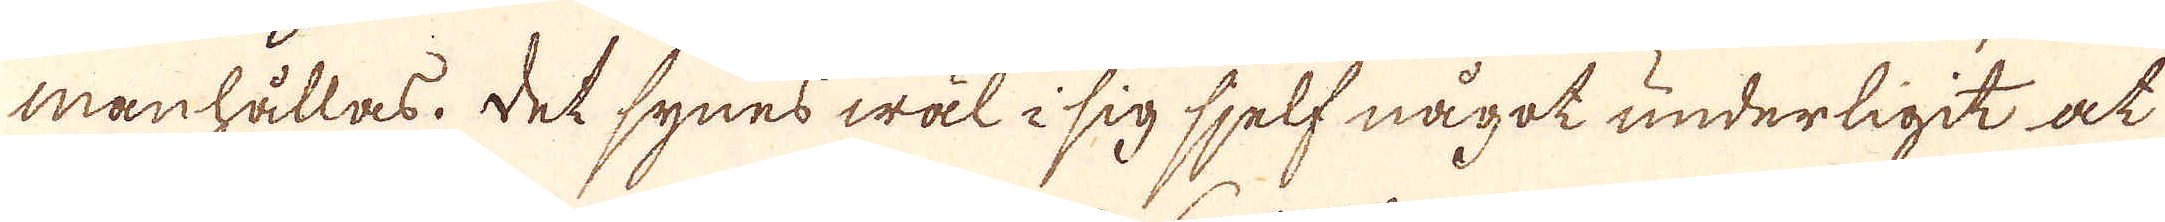manhållas, det synes wäl i sig sjelf något underligit at
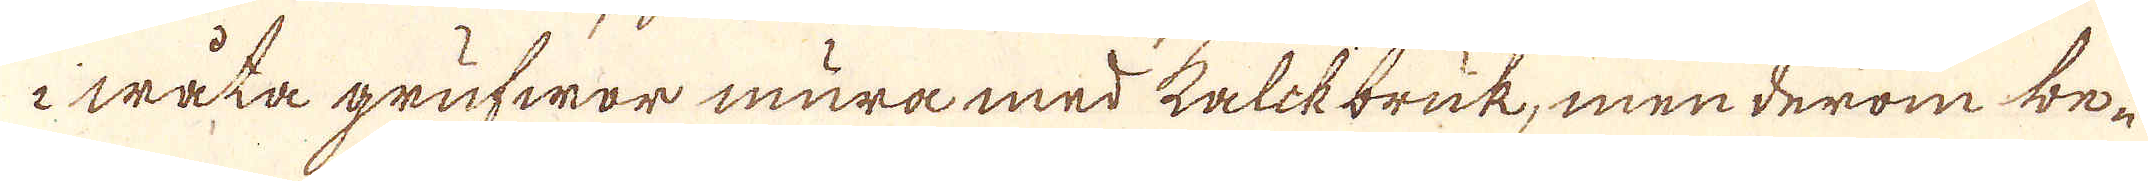i wåta grufwor mura med kalkbruk, men derom be-
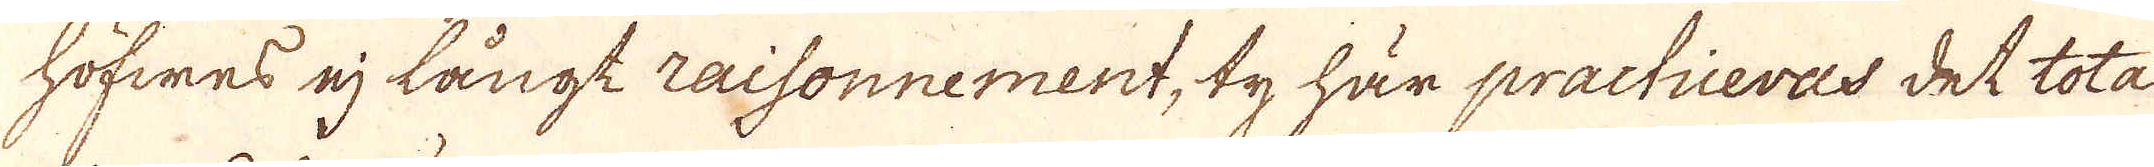höfwes ej långt raisonnement, ty här practiceras det tota
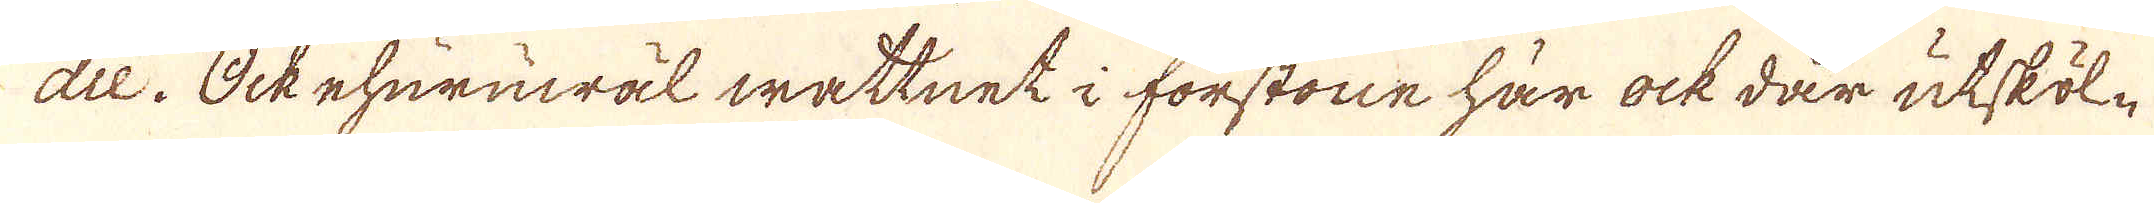die. Ock ehuruwäl wattnet i förstone här ock där utsköl-
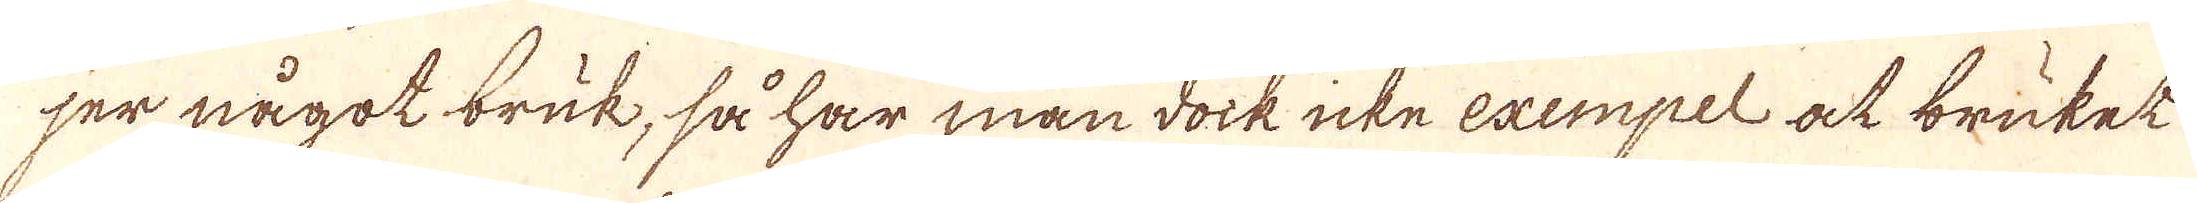ser något bruk, så har man dock icke exempel at bruket
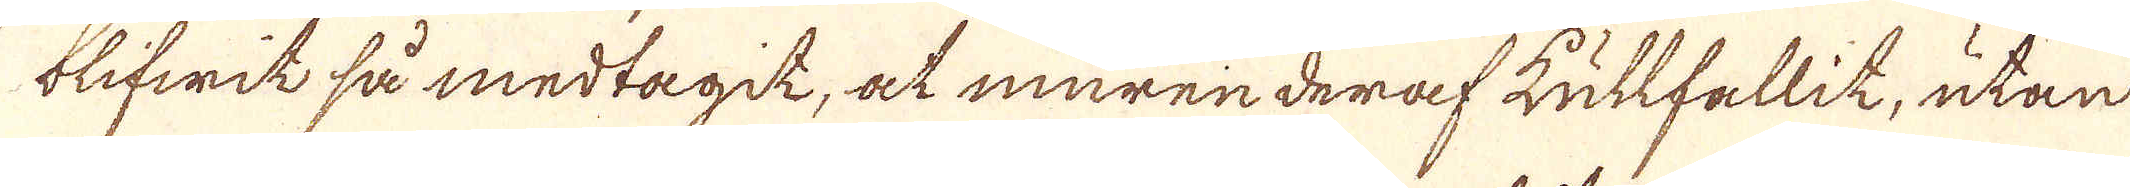blifwit så medtagit, at muren deraf kullfallit, utan
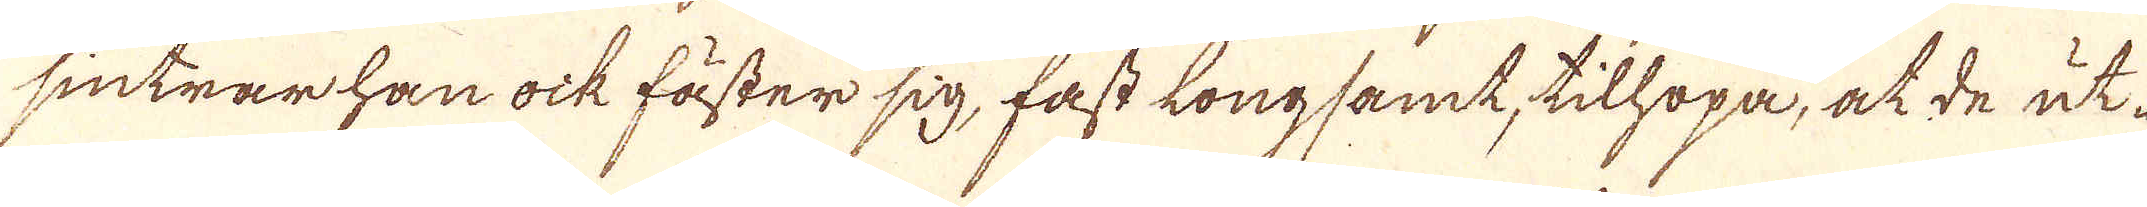sintrar han ock fäster sig, fast longsamt, tilhopa, at de ut
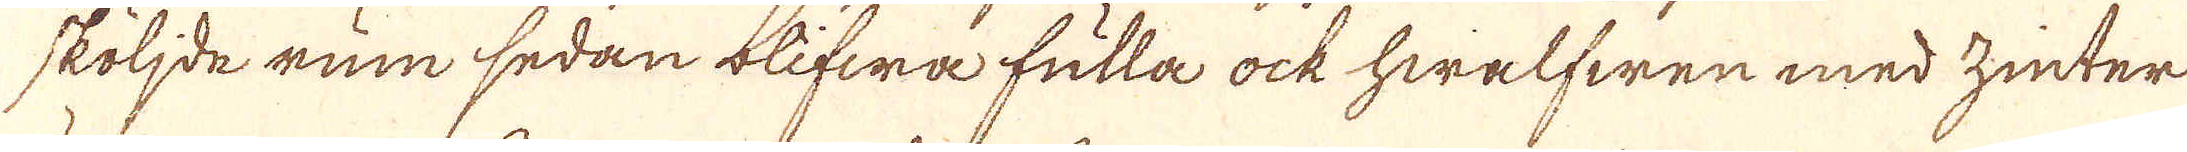sköljde rum sedan blifwa fulla ock hwalfwen med zinter
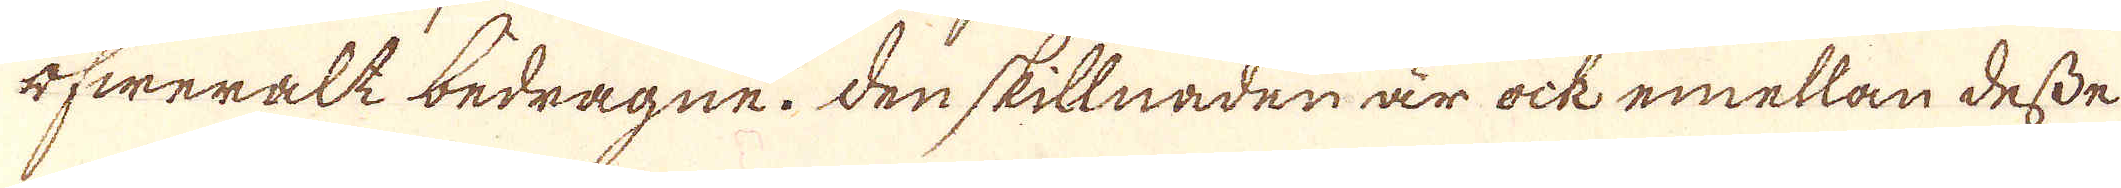öfweralt bedragne. Den skillnaden är ock emellan desse
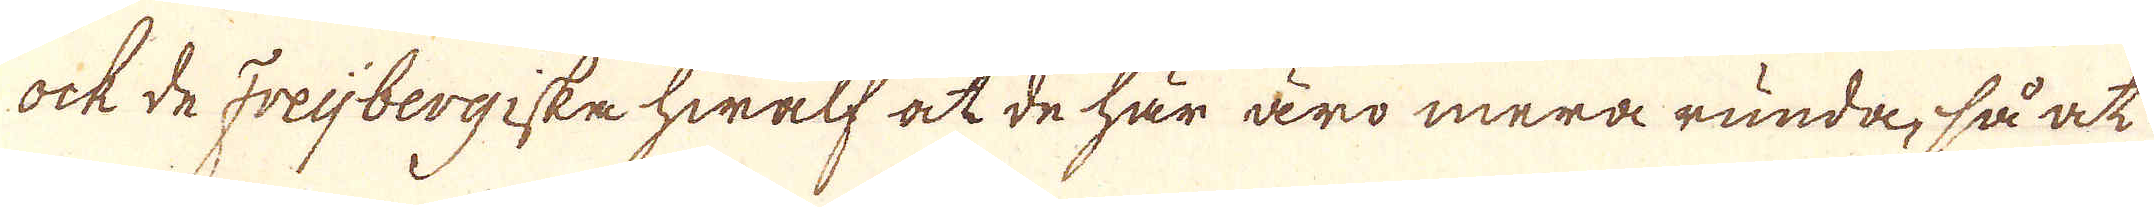ock de Freijbergiske hwalf at de här äro mera runda, så at
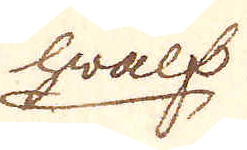hwalf
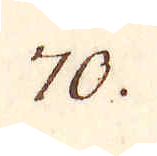70.
